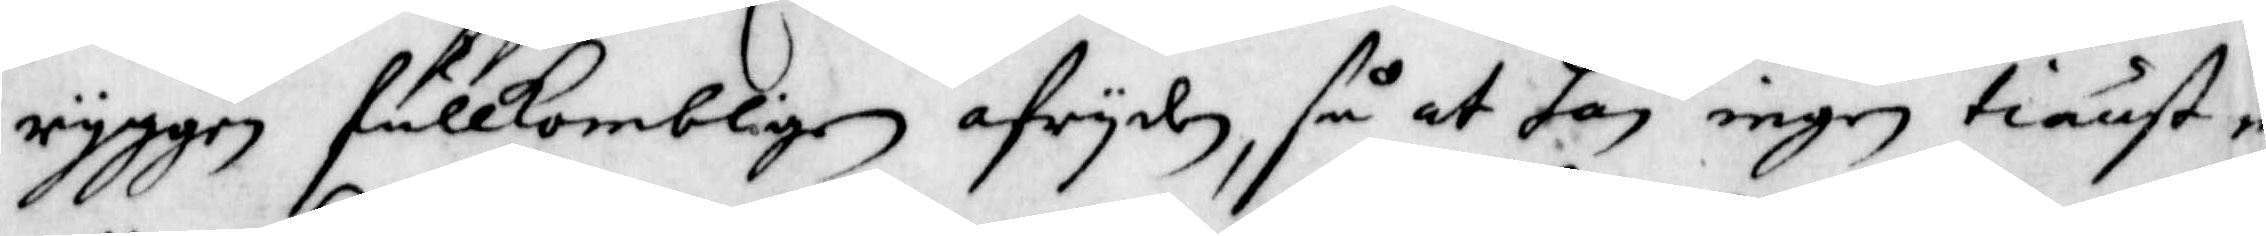ryggen fullkombligen afryden, så at han ingen tiänst m
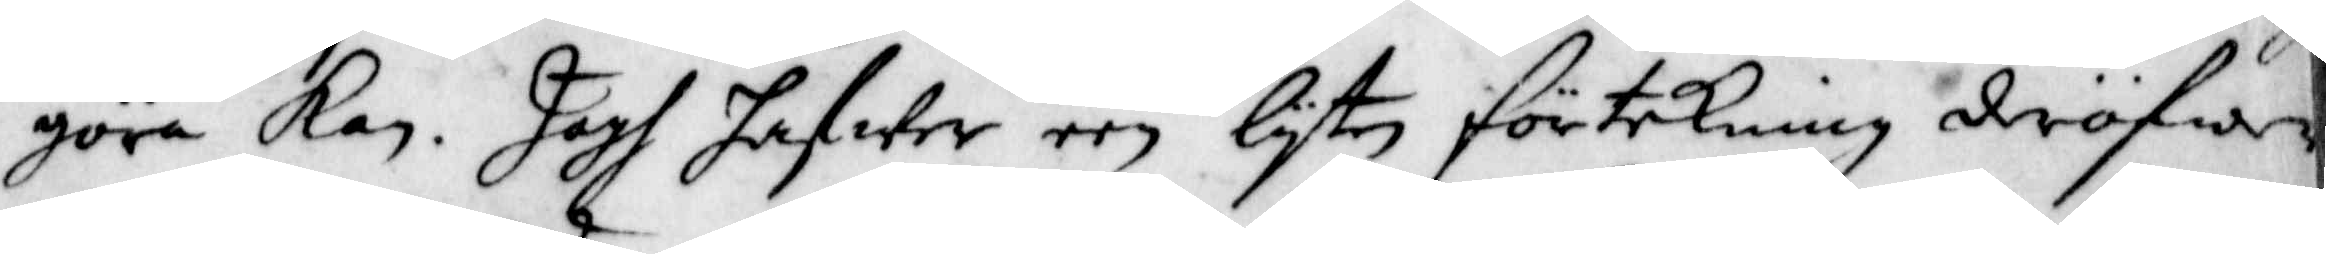göra kan. Jagh hafwer een lyten förtekning derögwer
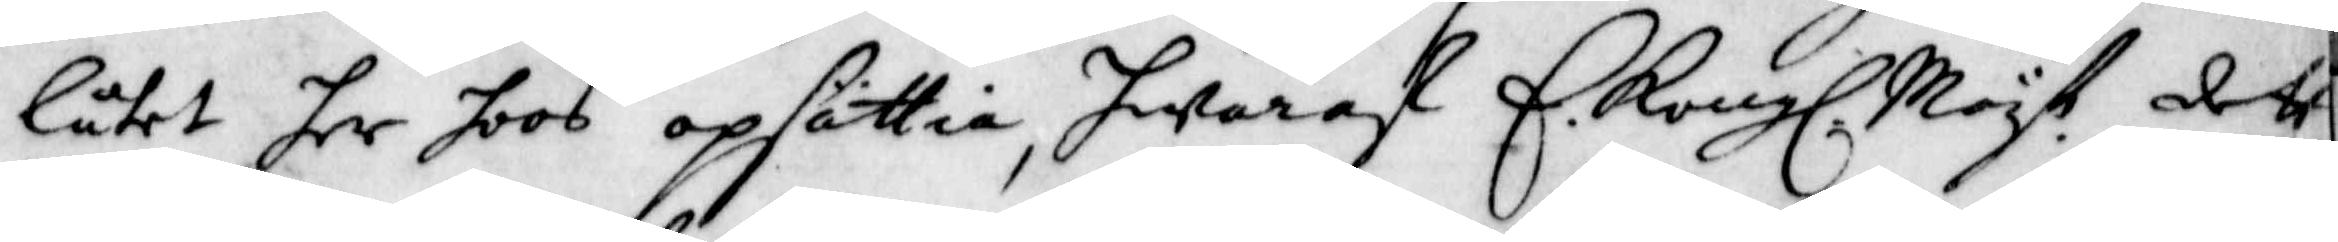låtet her hoos opsättia, hwaraf E. Kongl. Mayt. dett
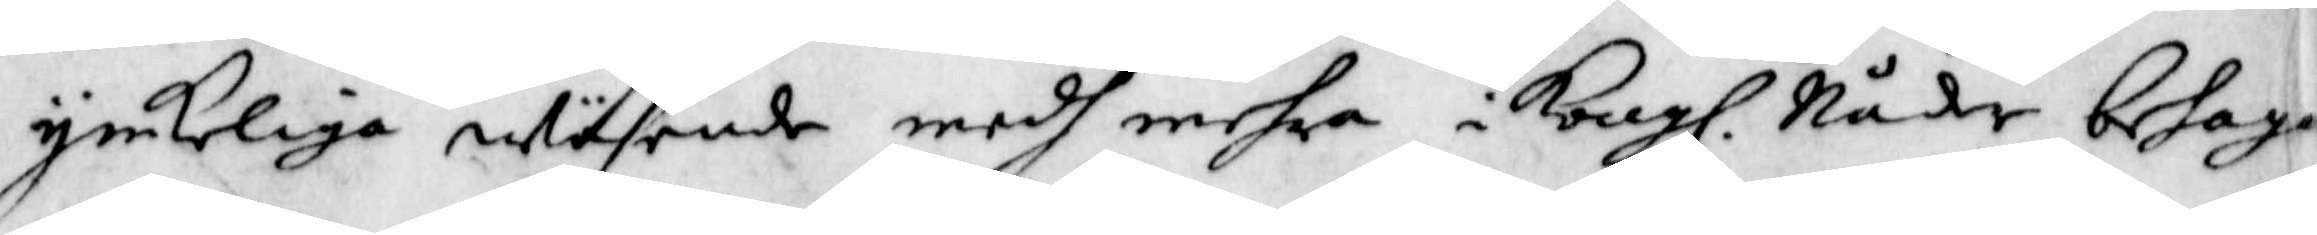ynkeliga wäsende medh mehra i Kongl. Nåder behaga
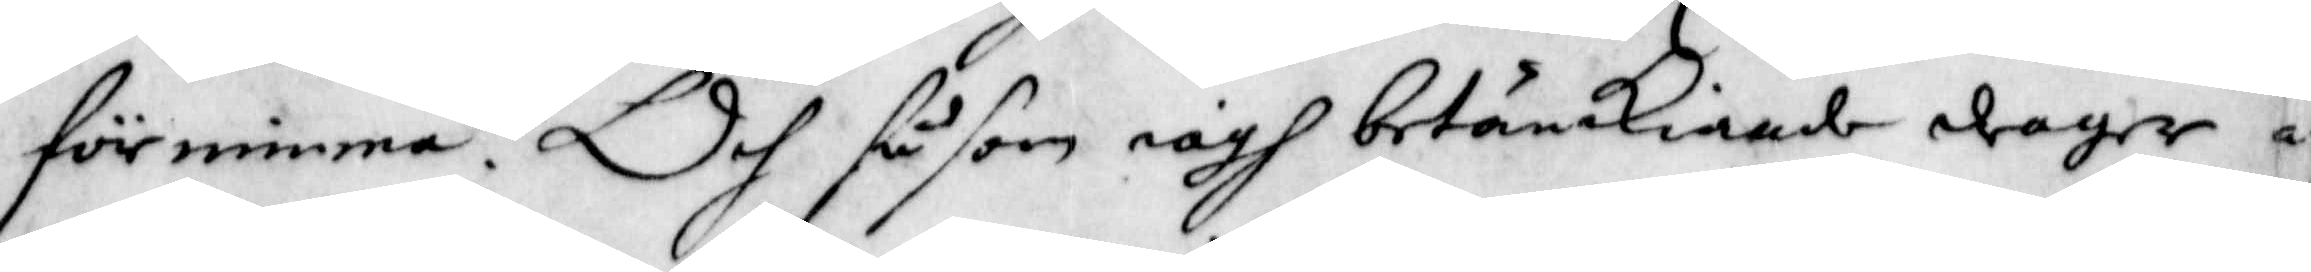förnimma. Och såsom iagh betänckiande drager a
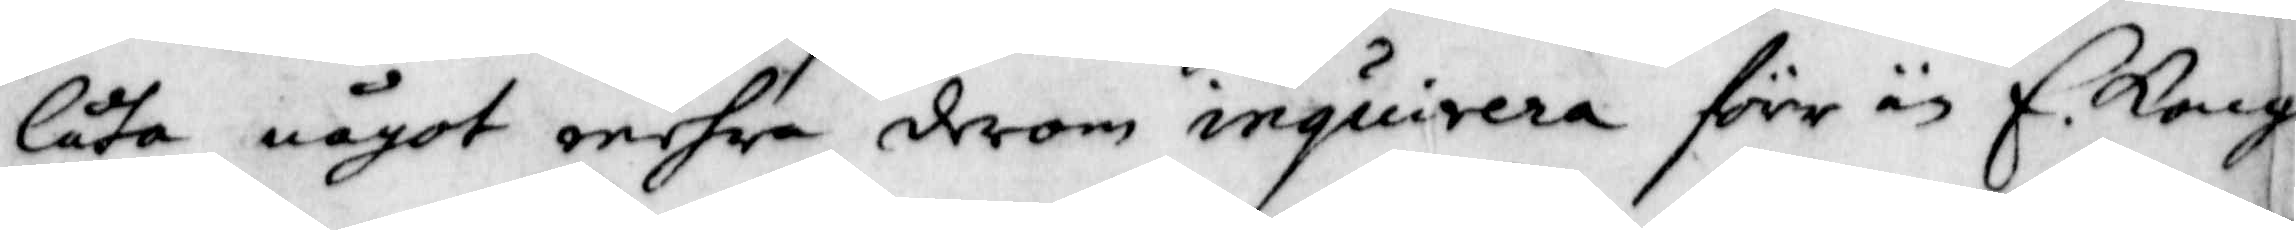låta något mehra derom inquirera förr än E. Kongl.
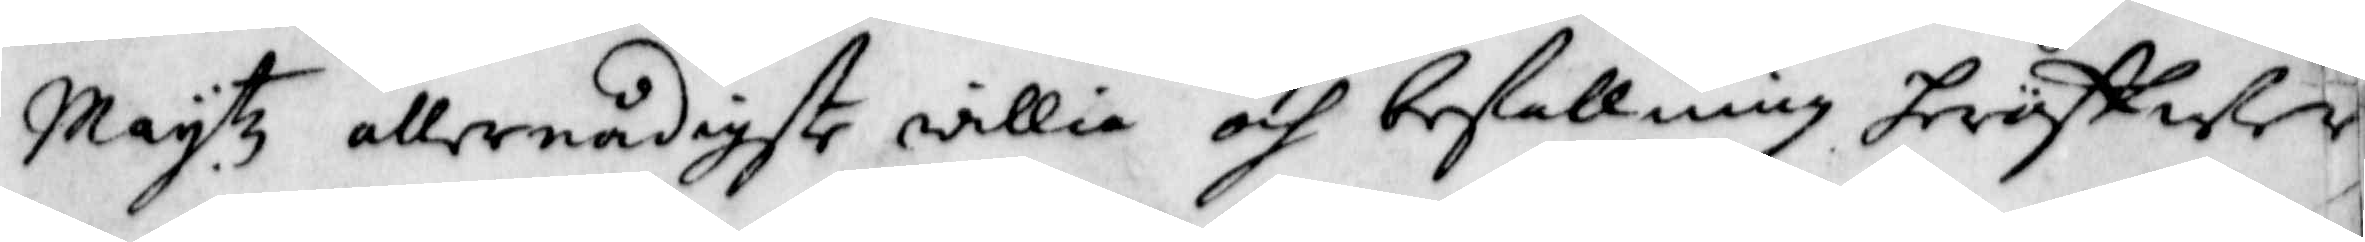May.tz allernådigste willia och befallning heröffwer
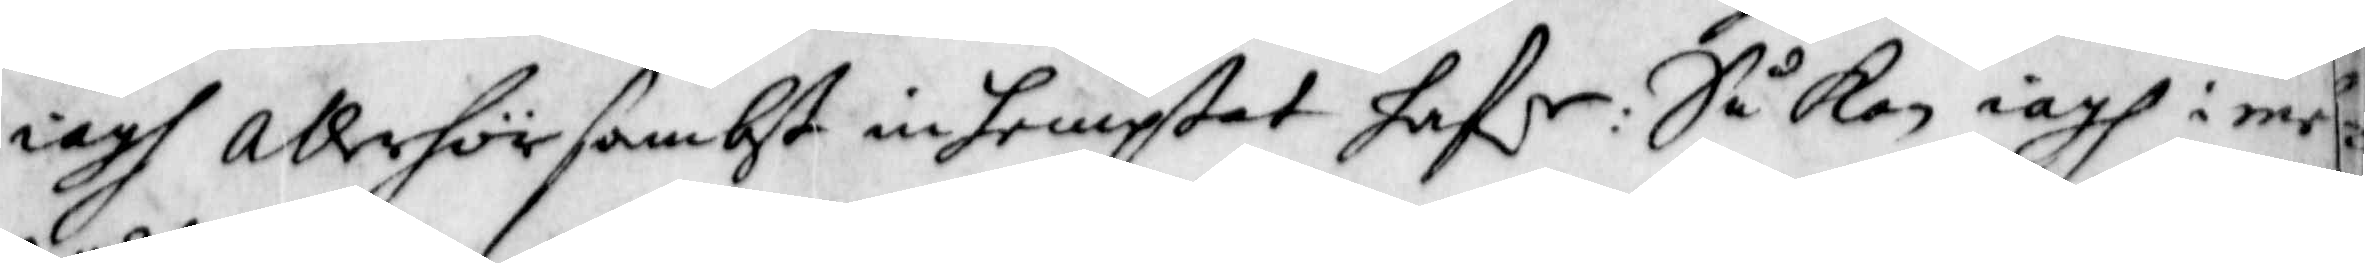iagh allehörsambt in hemptat hafr: Så kan iagh ime¬
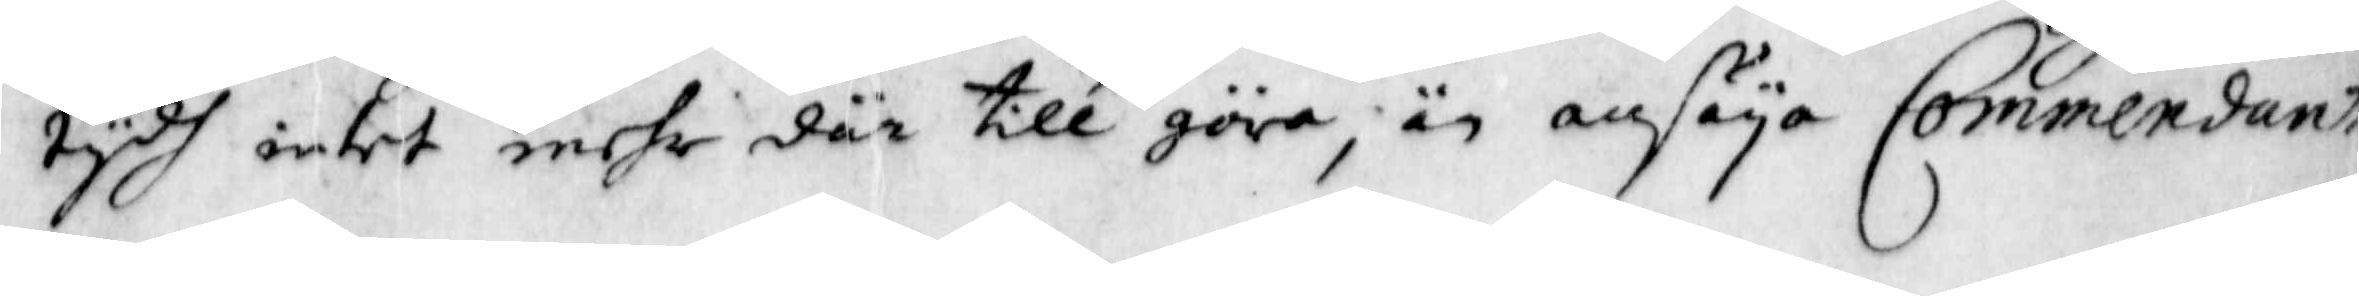tydh intet mehr där till göra, än ansäya Commendanten
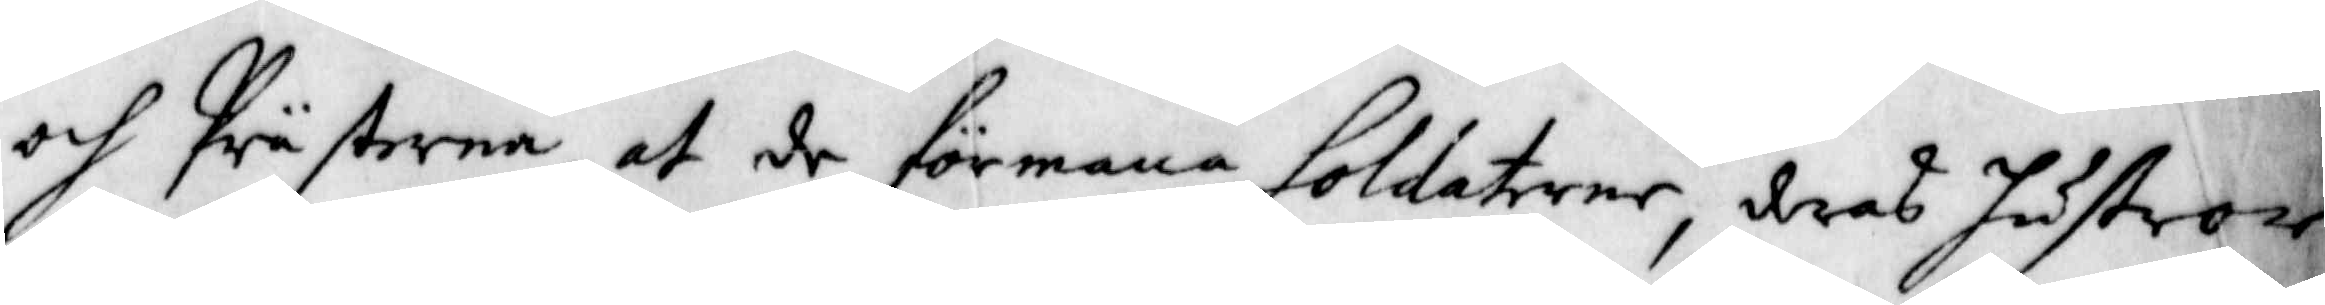och Prästerna, at de förmana Soldaterne, deras hustror
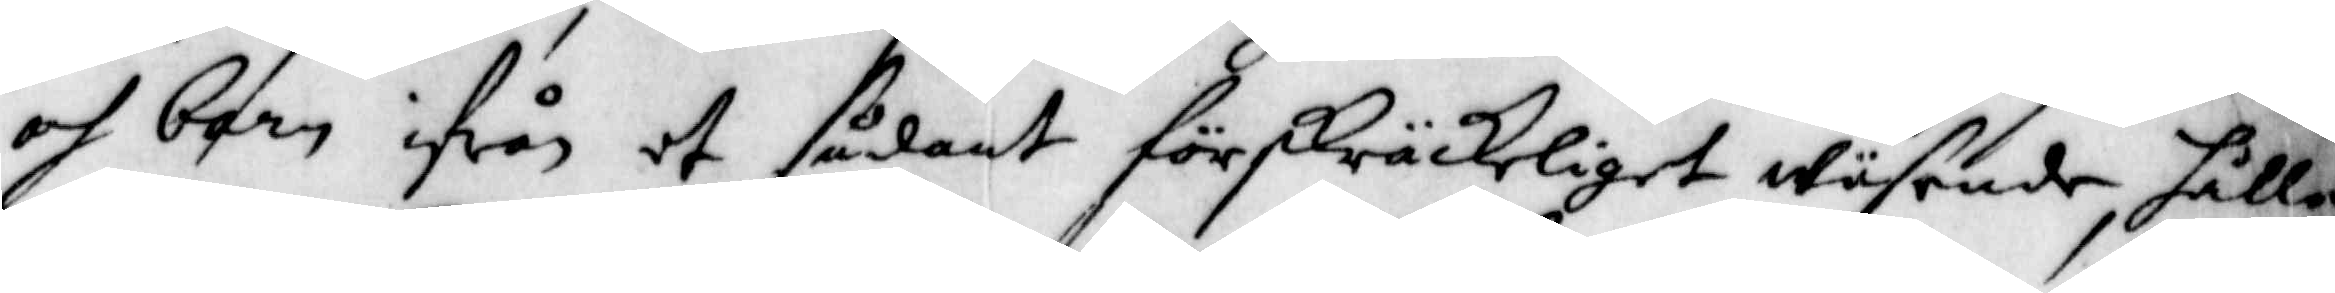och barn ifrån et sådant förskräckeligit wäsende, hålla
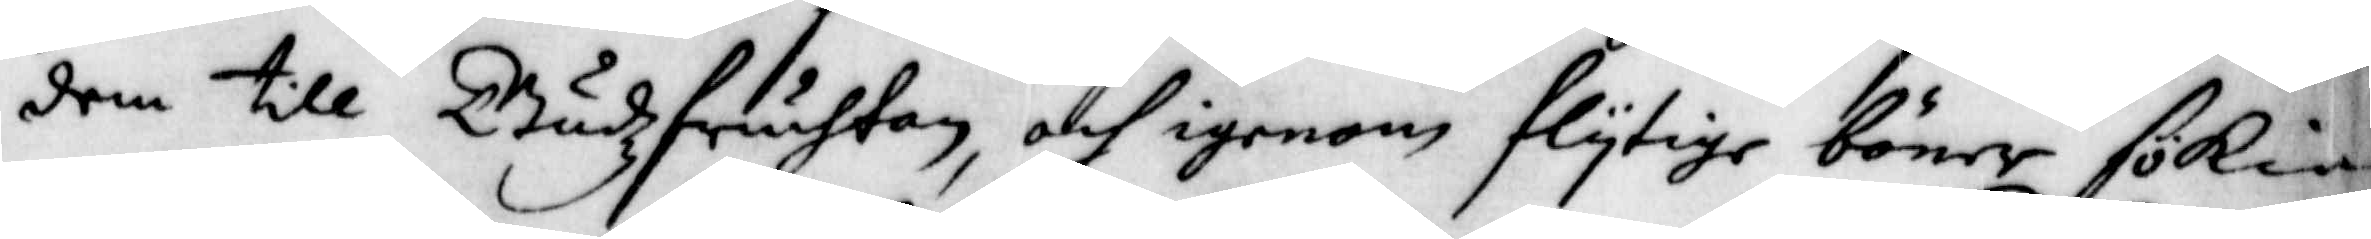dem till Gudzfruchtan, och igenom flytige böner sökia
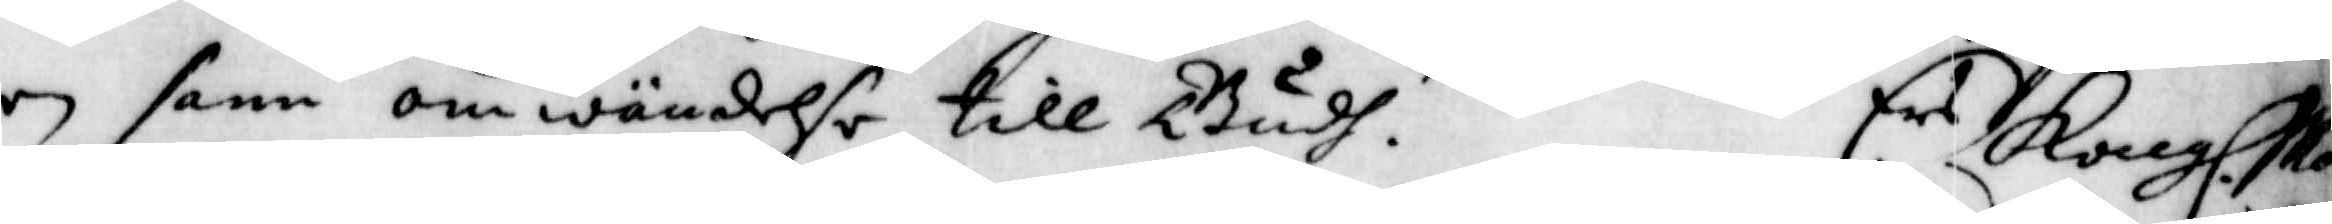en sann omwändelse till Gudh. E.rs Kongl. Mayt.
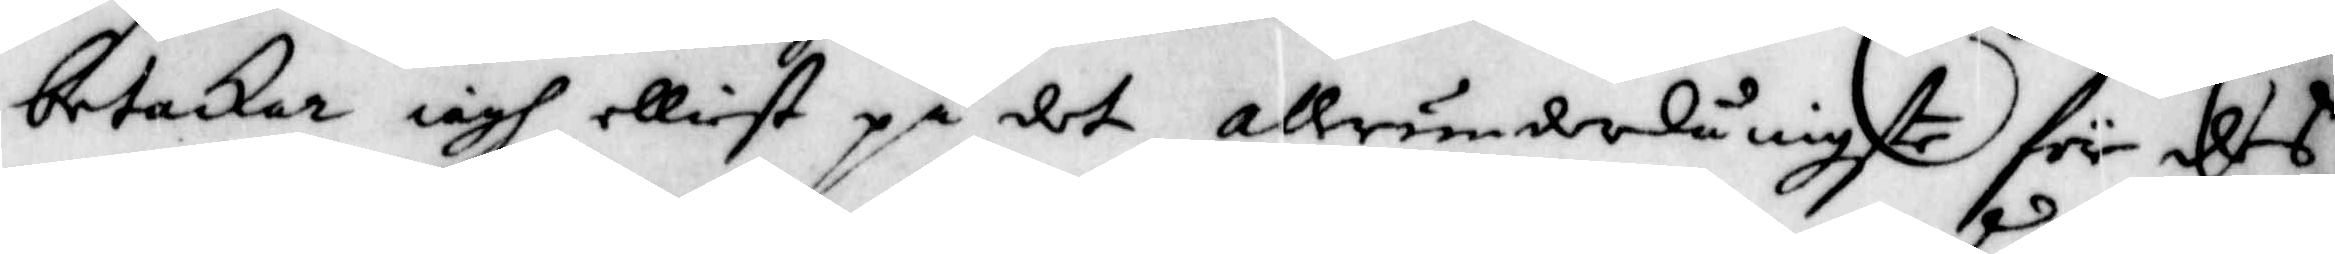betackar iagh elliest på det allerunderdånigste för des
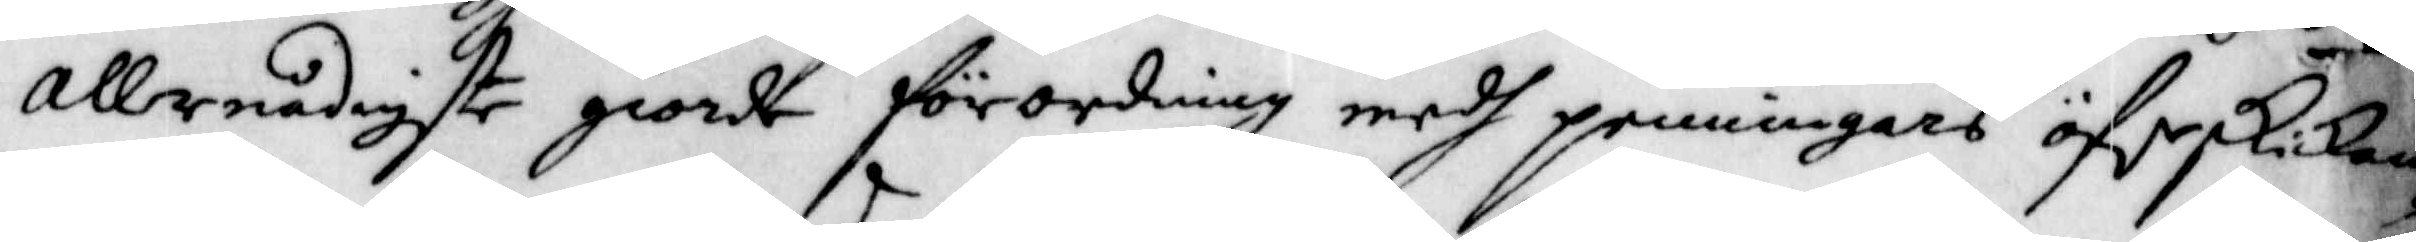allernådigste giorde förordning medh penningars öferskickan¬
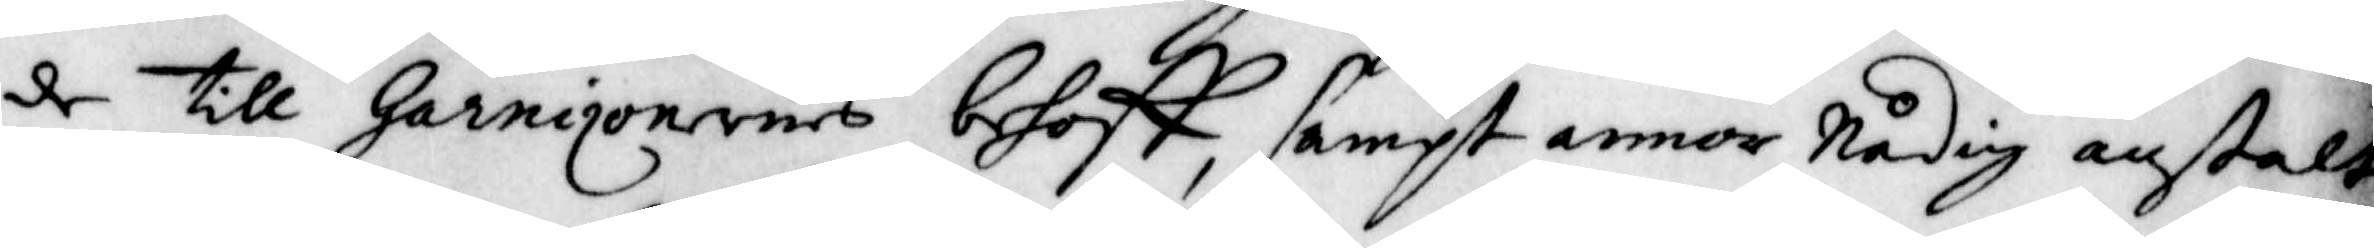de till Garnizonernes behoff, sampt annor Nådig anstalt
